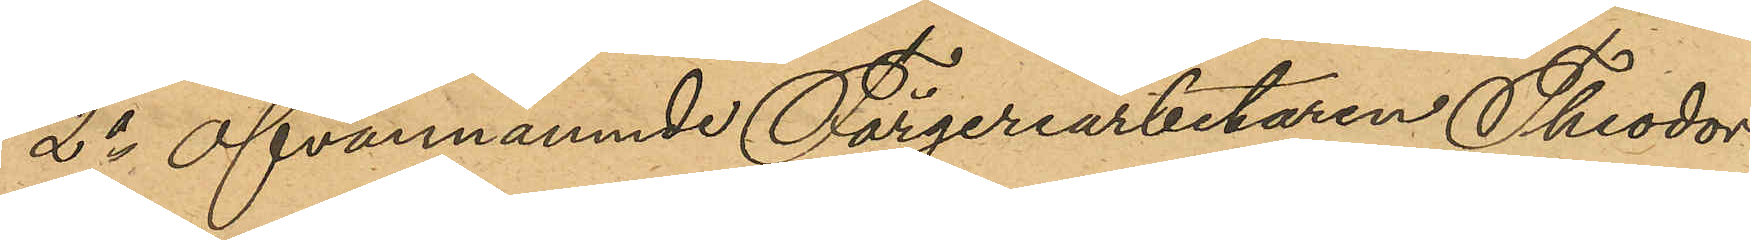2o ofvannämnde Färgeriarbetaren Theodor
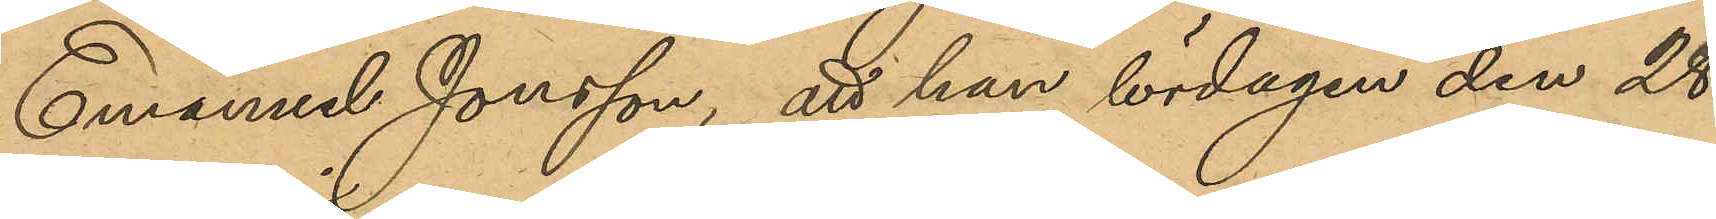Emanuel Jonsson, att han lördagen den 28
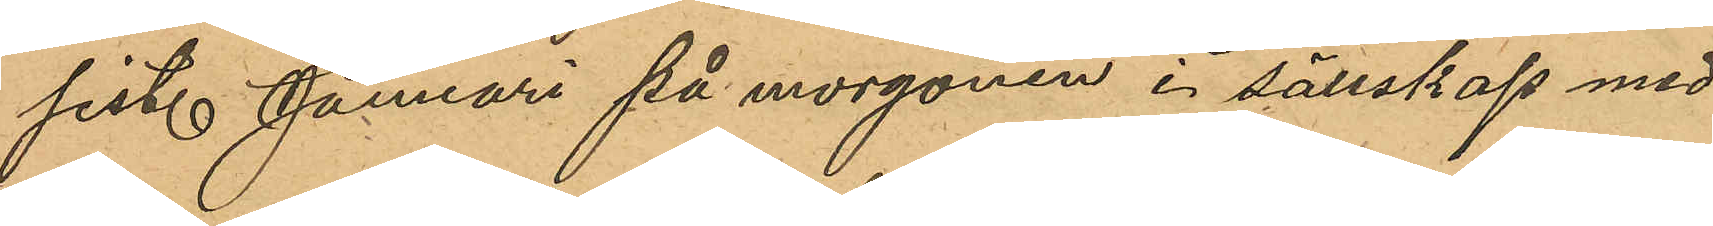sist. Januari på morgonen i sällskap med
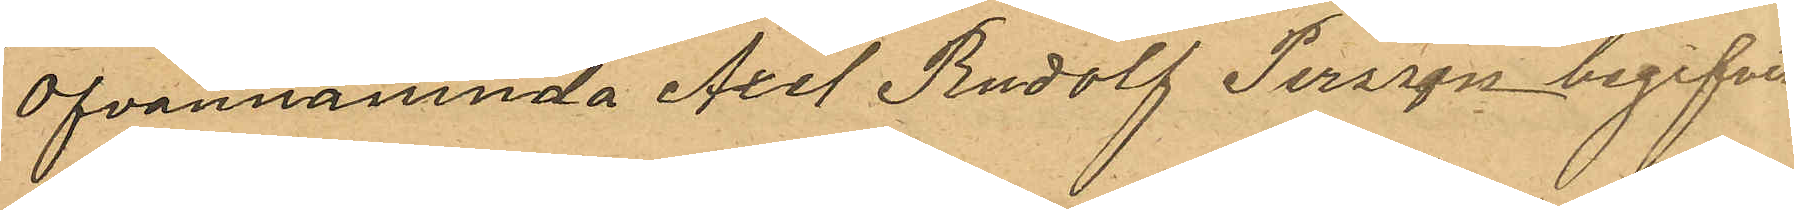ofvannämnda Axel Rudolf Persson begifvit
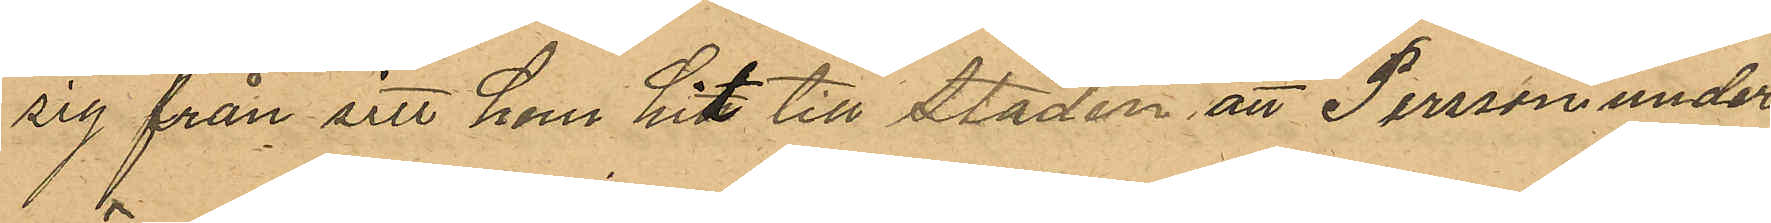sig från sitt hem hit till staden, att Persson under
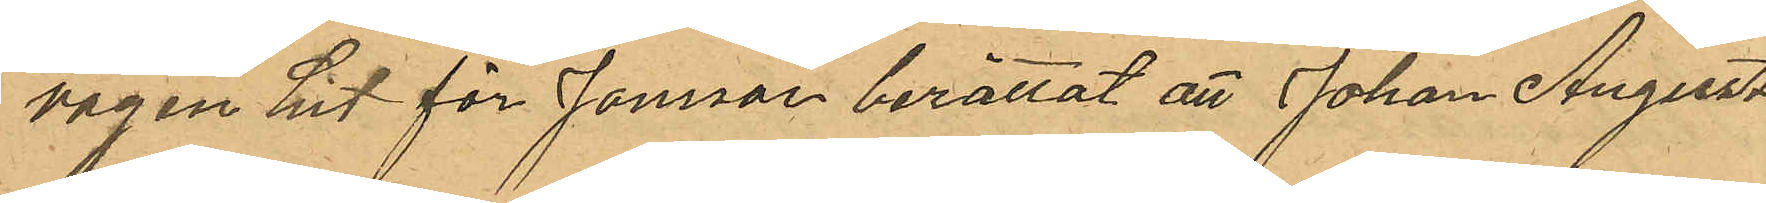vägen hit för Jonsson berättat att Johan August
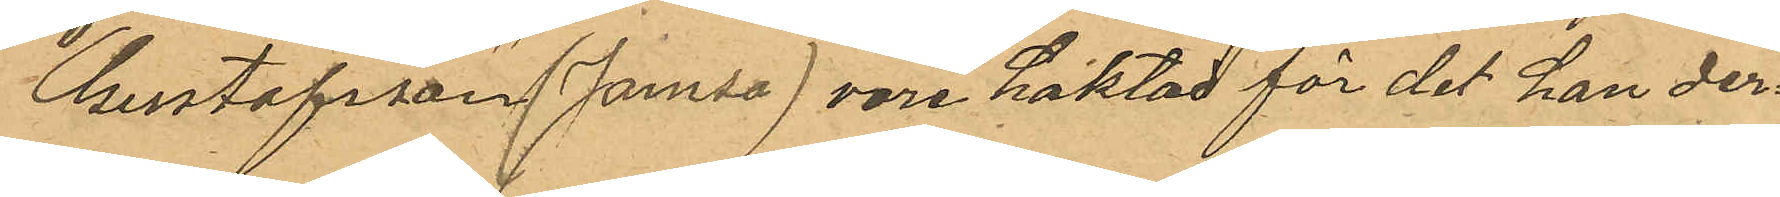Gustafsson (Jamsa) vore häktad för det han den
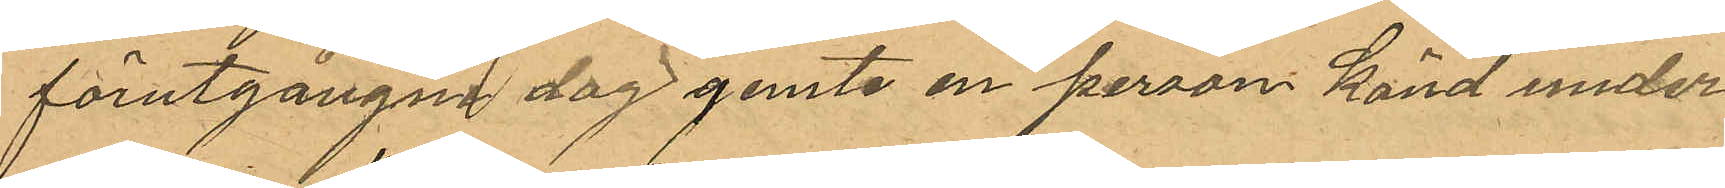förutgångne dag jemte en person känd under
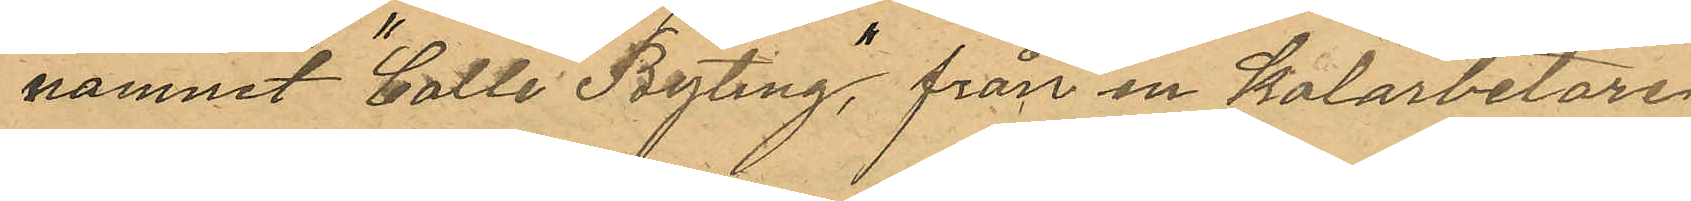namnet "Calle Byting" från en Kolarbetare
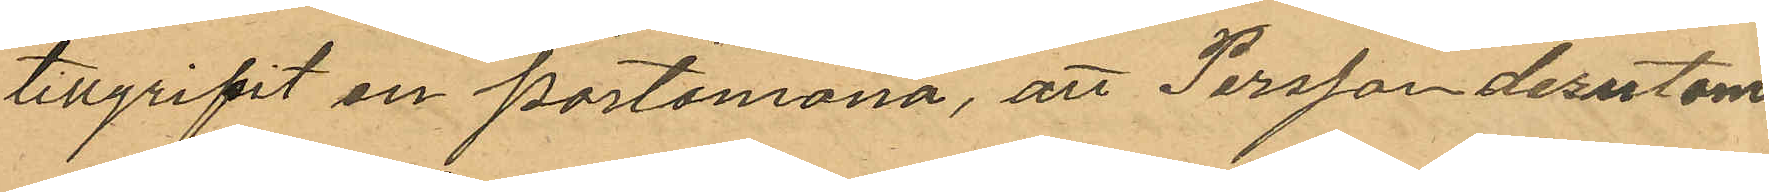tillgripit en portmonnä, att Persson dessutom
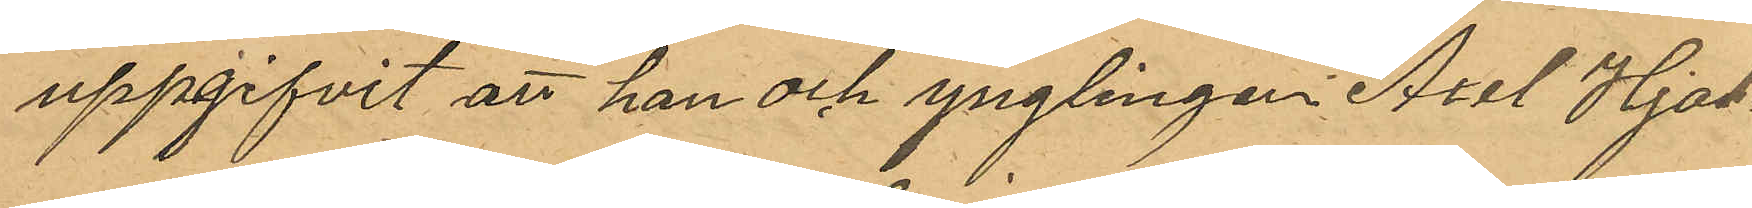uppgifvit att han och ynglingen Axel Hjal¬
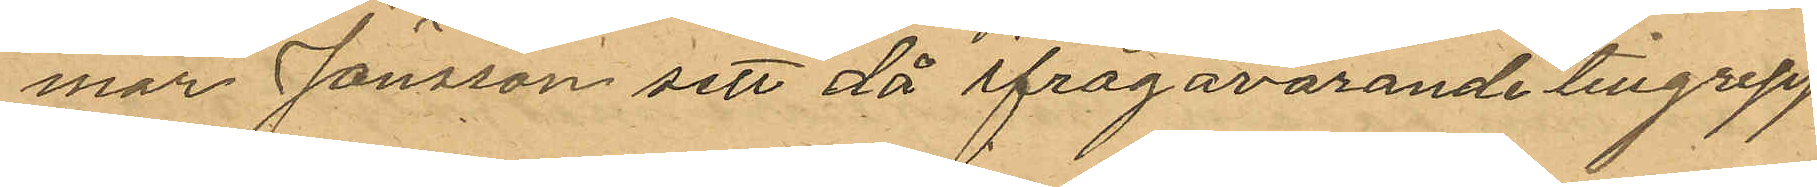mar Jönsson sett då ifrågavarande tillgrepp
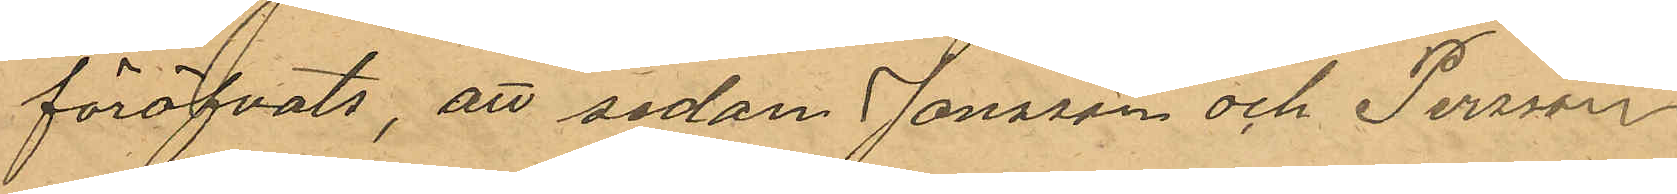föröfvats, att sedan Jonsson och Persson
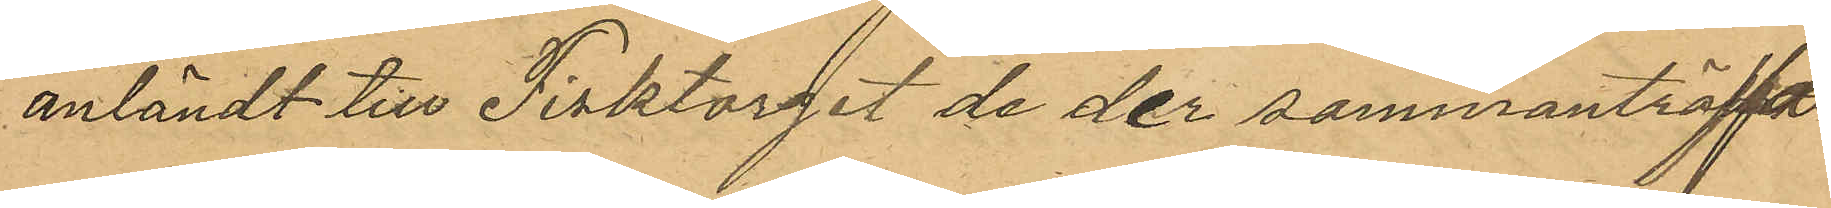anländt till Fisktorget de der sammanträffat
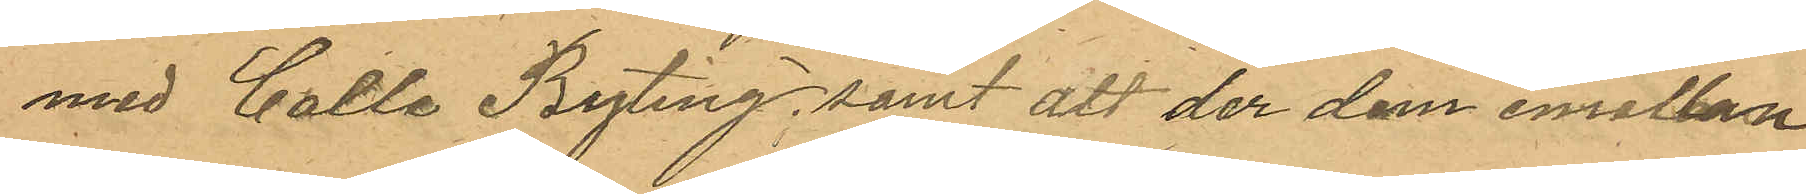med Calle Byting samt att der dem emellan
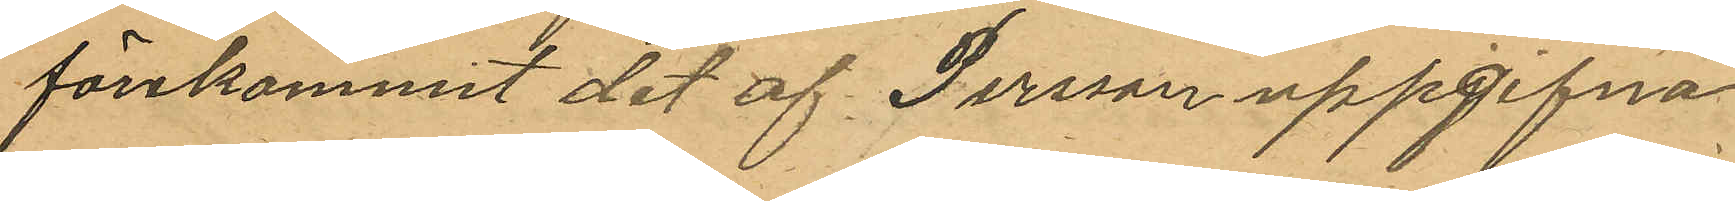förekommit det af Persson uppgifna
